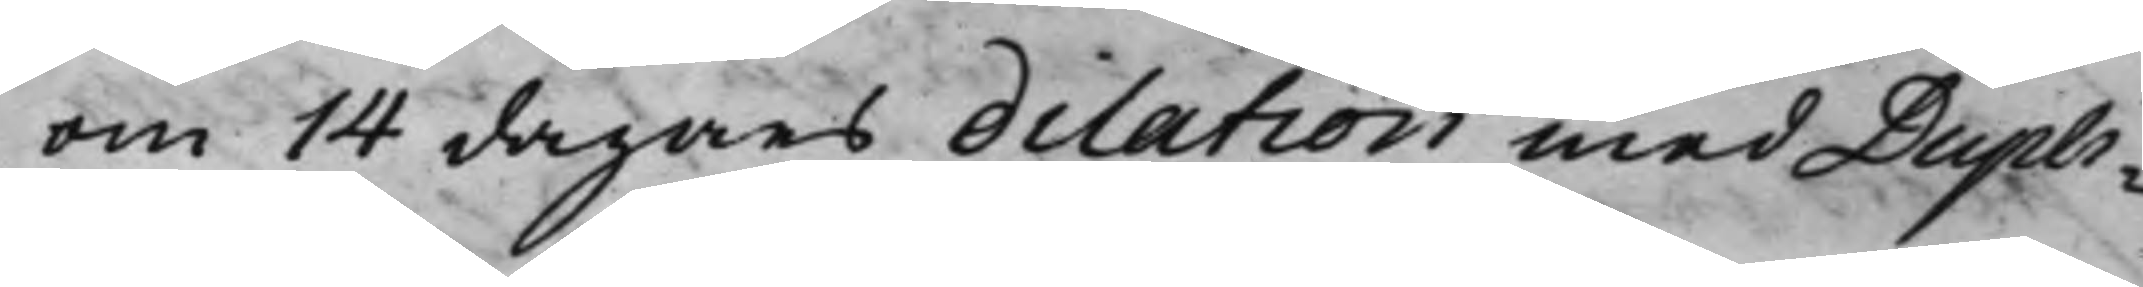om 14 dagars dilation med Dupli¬
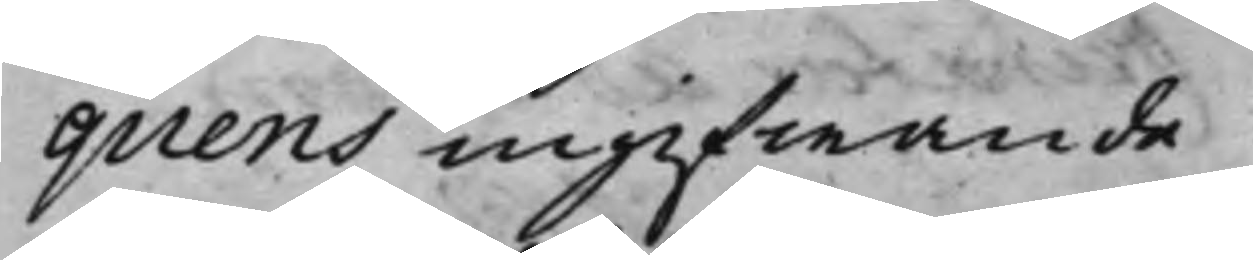quens ingifwande.
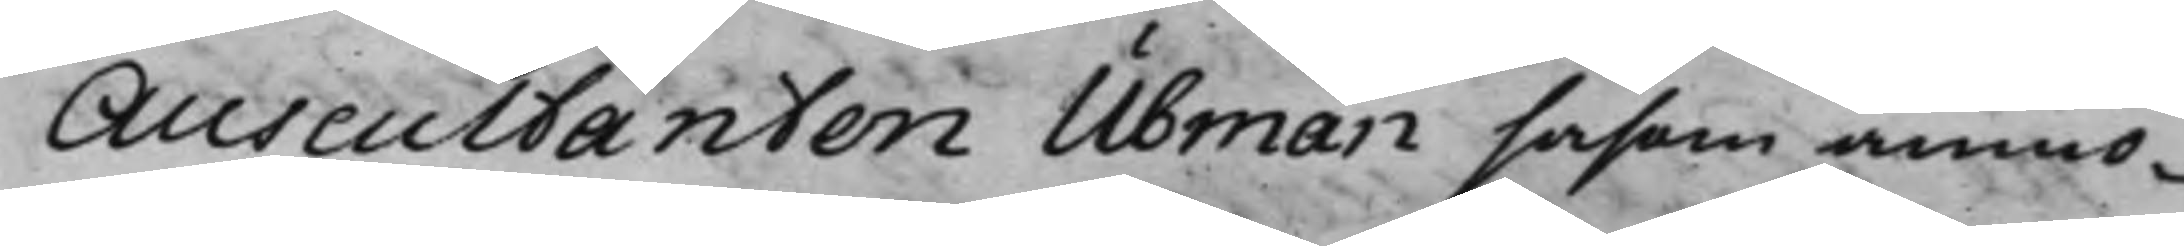Auscultanten Ubman såsom anmo¬
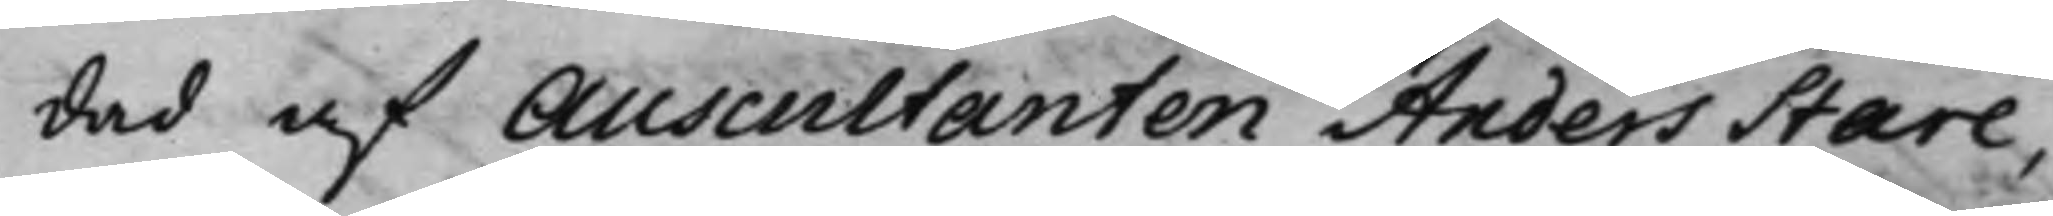dad af Auscultanten Anders Stare,
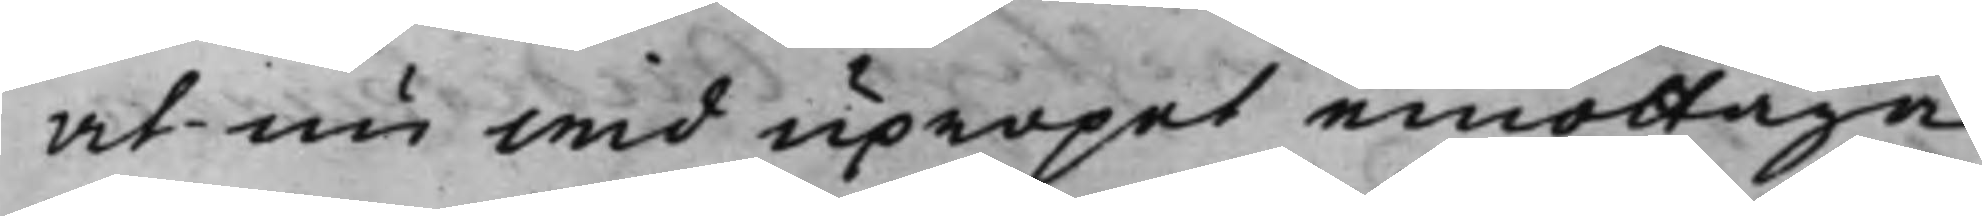at nu wid upropet emottaga
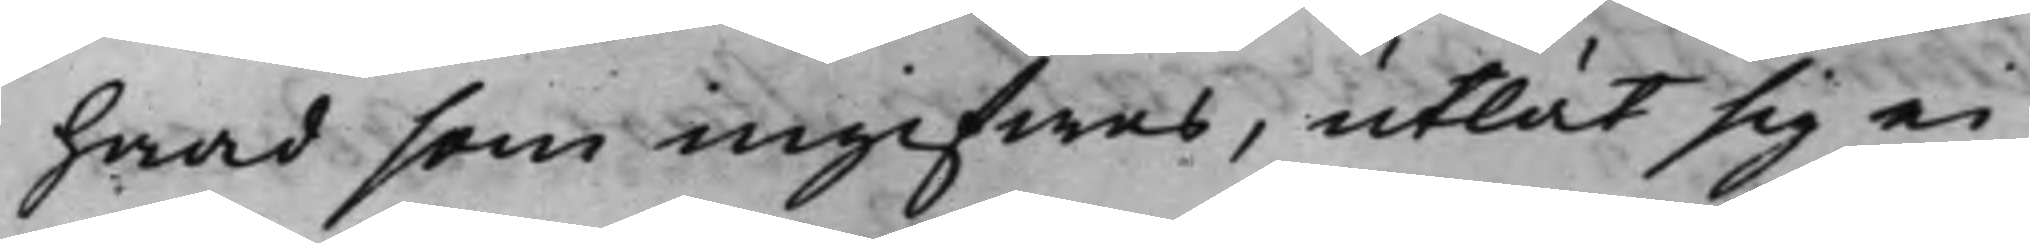hwad som ingifwas, utlät sig ei
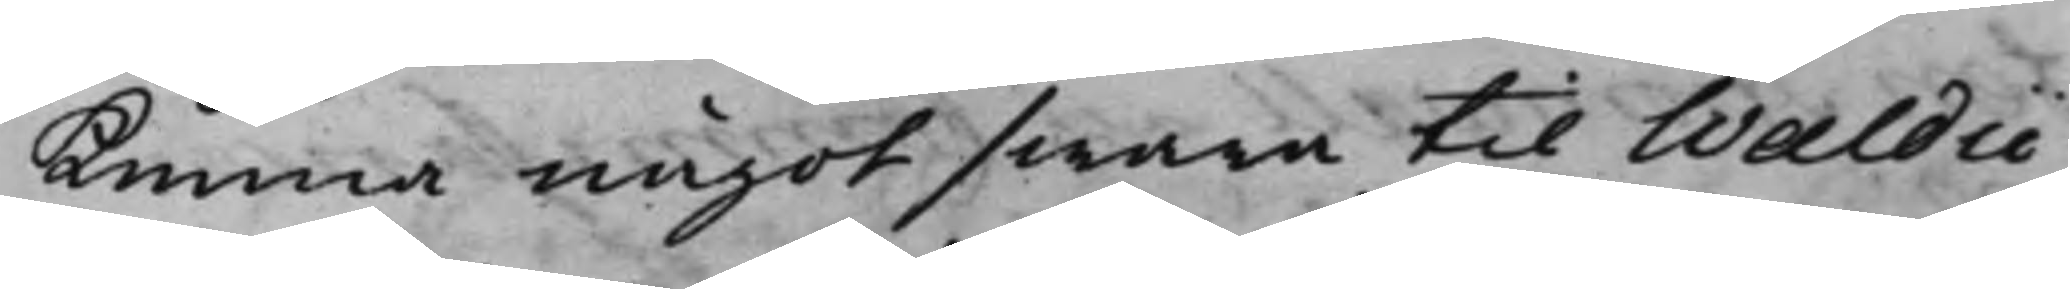kunna något swara til Waldii
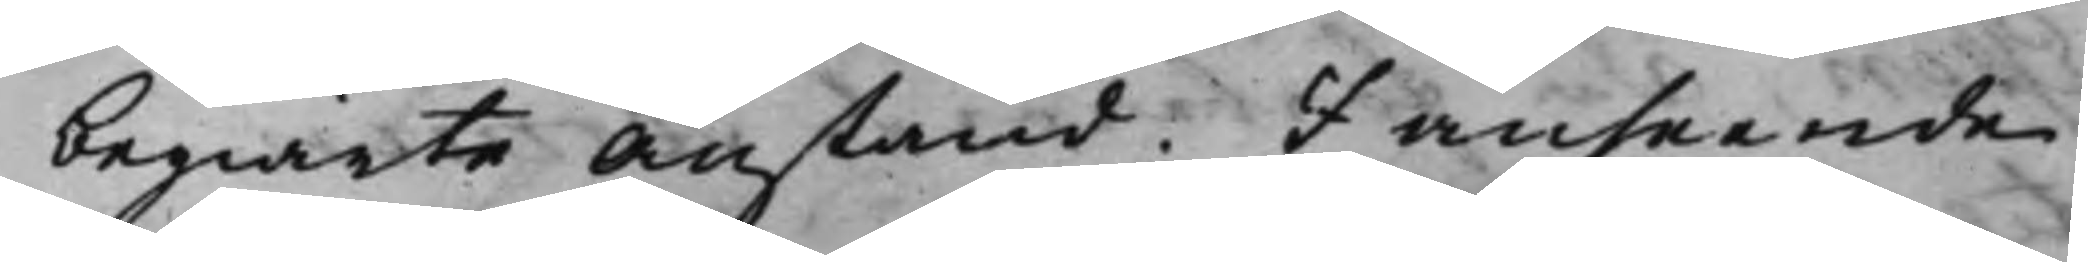begiärte Anstånd. I anseende
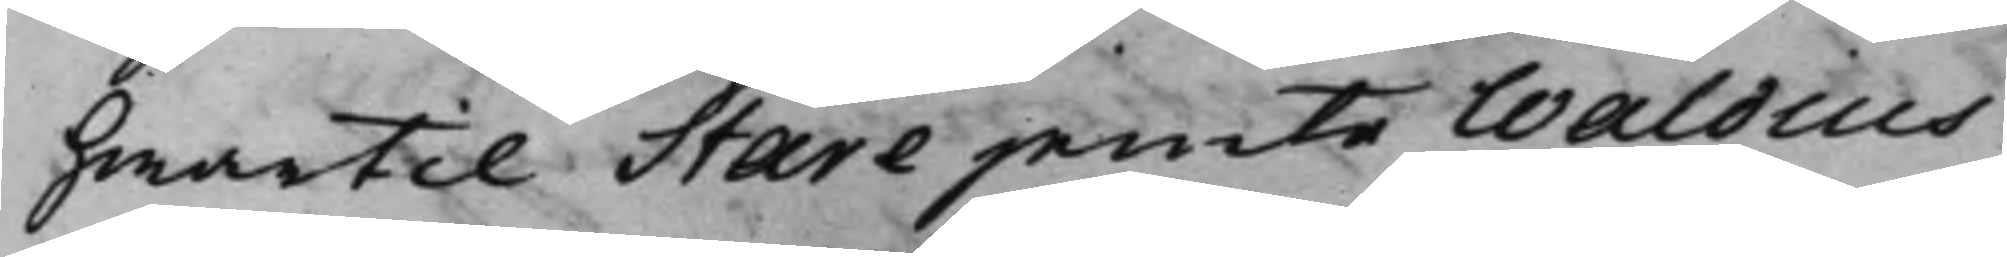hwartill Stare jemte Waldius
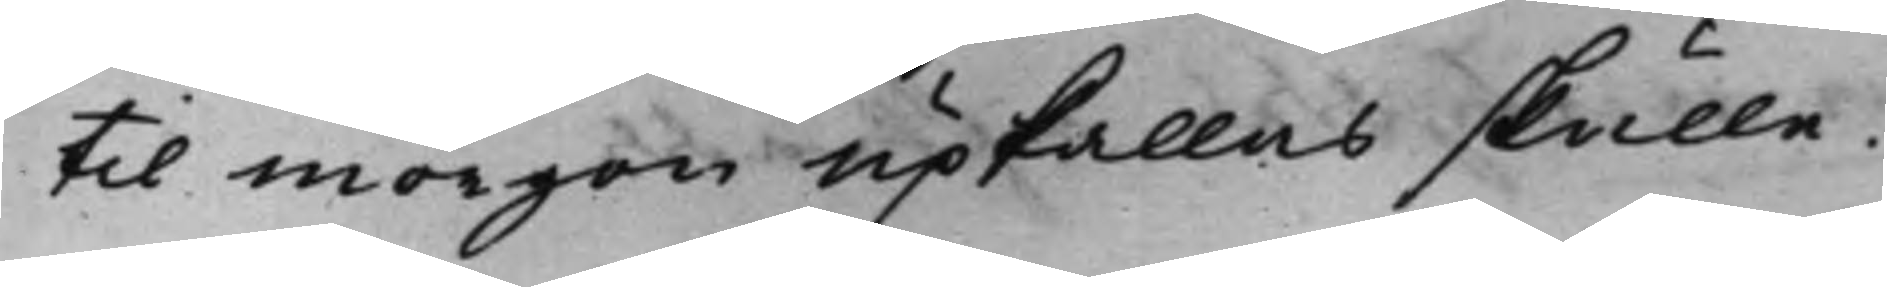til morgon upkallas skulle
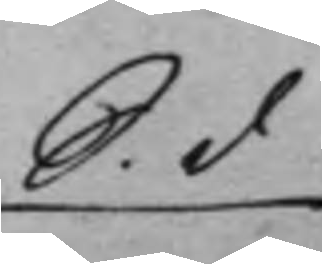S. d
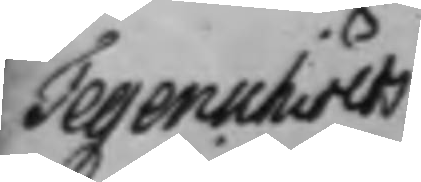Tegenschiölds
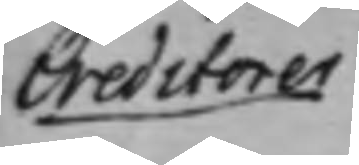Creditorer
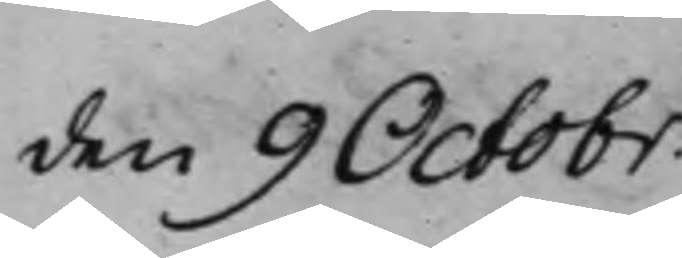den 9 Octobr.
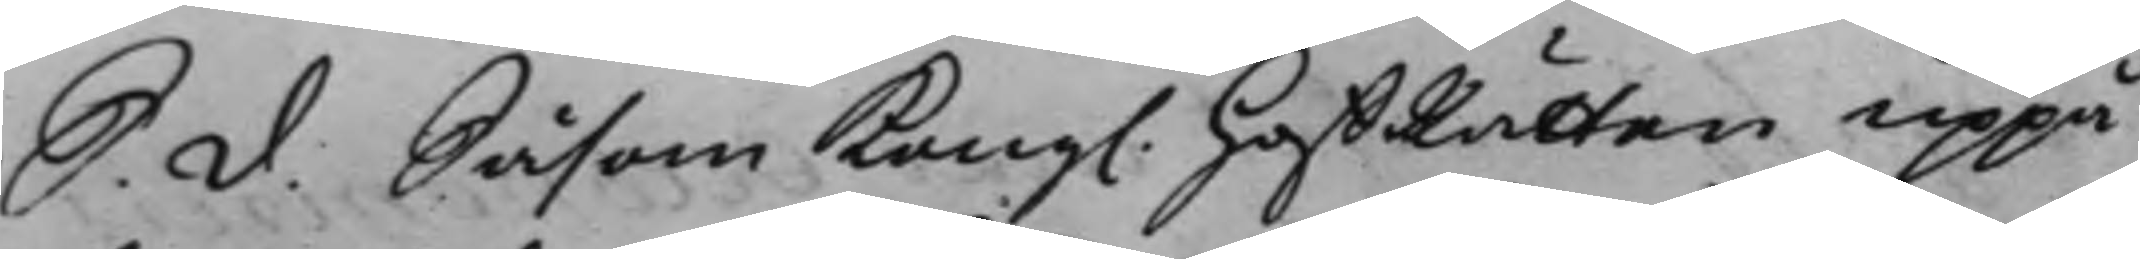S. d. Såsom Kong. HoffRätten uppå
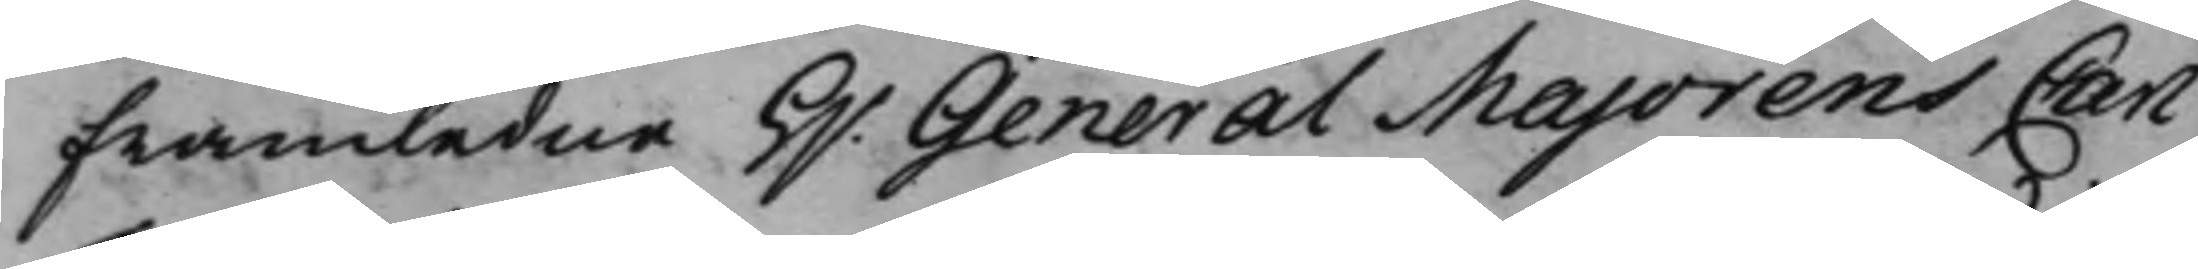framledne H.r General Majorens Carl
